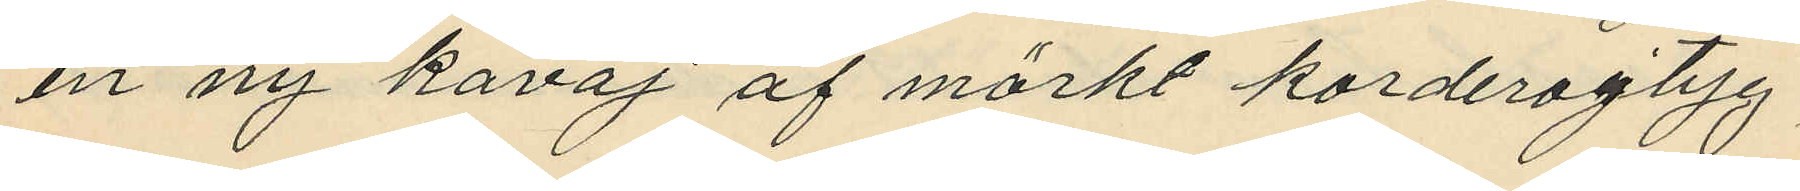en ny kavaj af mörkt korderojtyg,
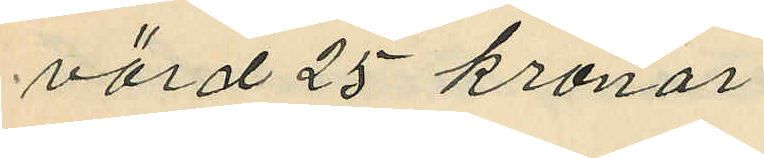värd 25 kronor.
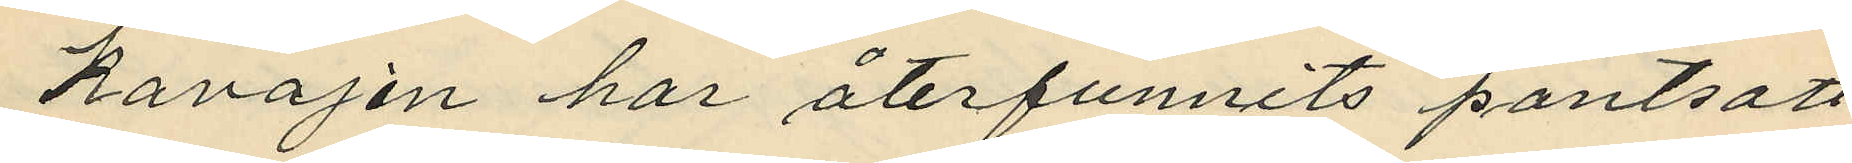Kavajen har återfunnits pantsatt
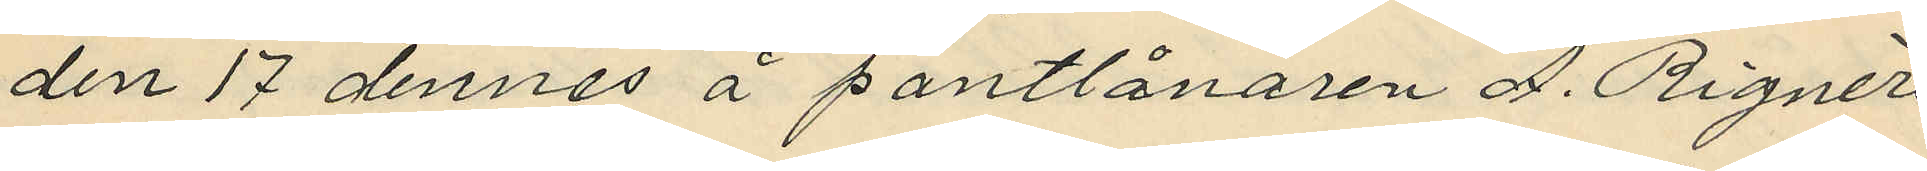den 17 dennes å pantlånaren A. Rignérs
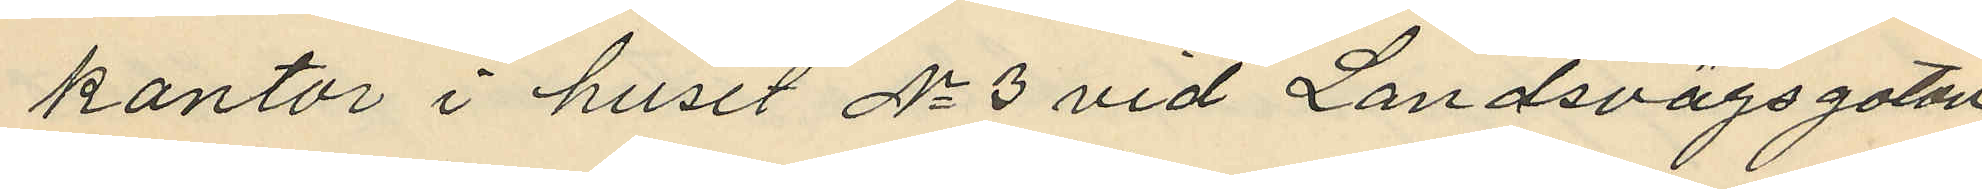kontor i huset No 3 vid Landsvägsgatan
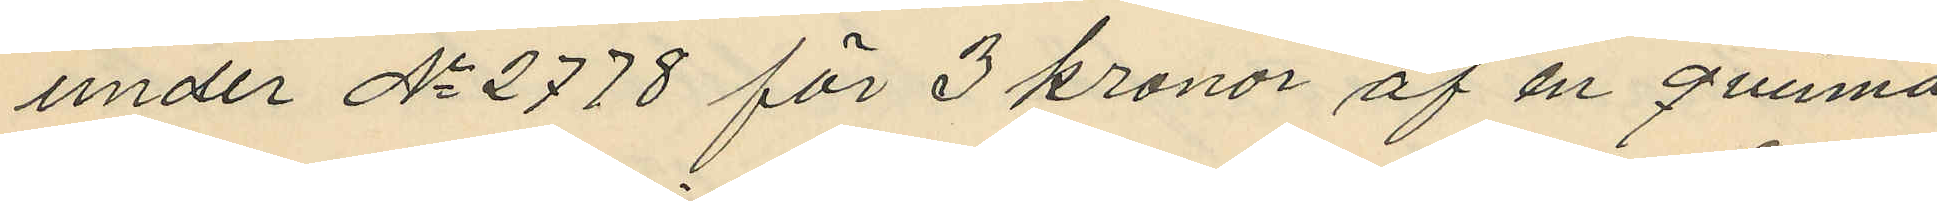under No 2778 för 3 kronor af en quinna
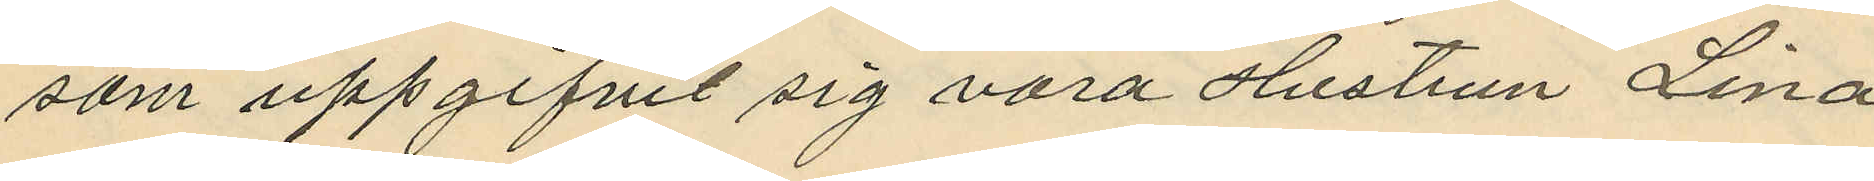som uppgifvit sig vara Hustrun Lina
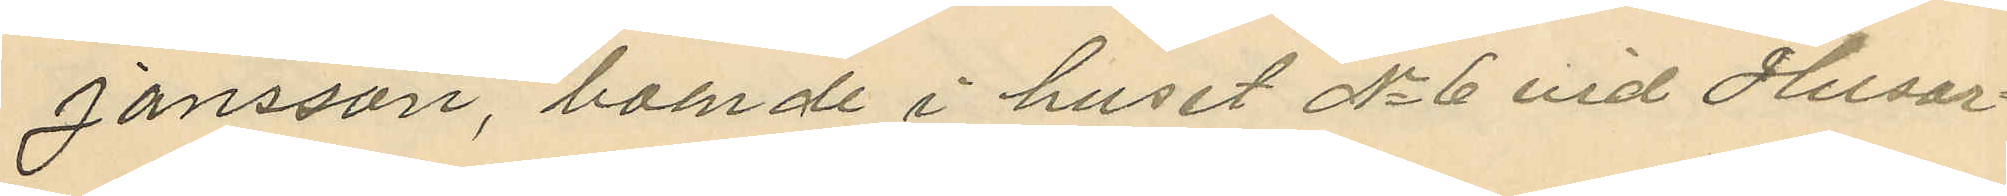Jansson, boende i huset No 6 vid Husar¬
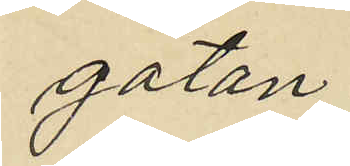gatan.
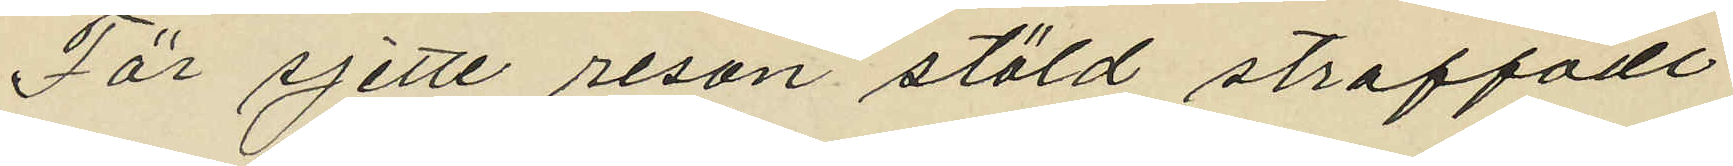För sjette resan stöld straffade
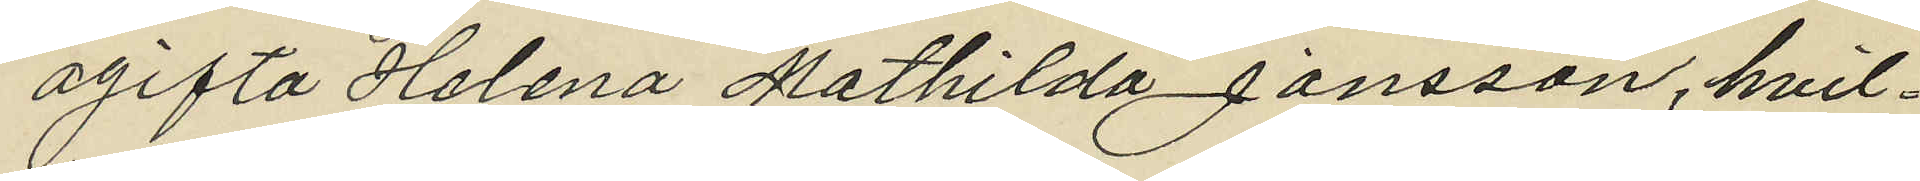ogifta Helena Mathilda Jansson, hvil¬
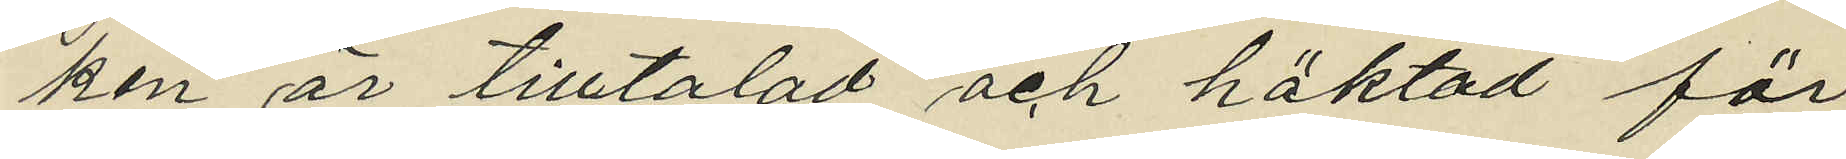ken är tilltalad och häktad för
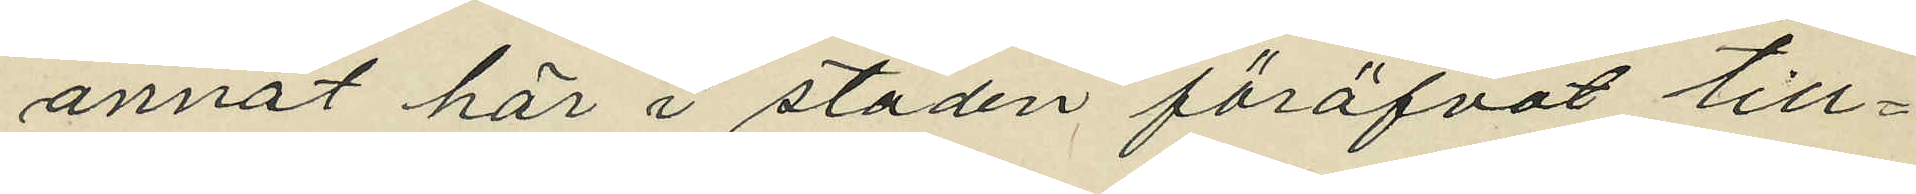annat här i staden föröfvat till¬
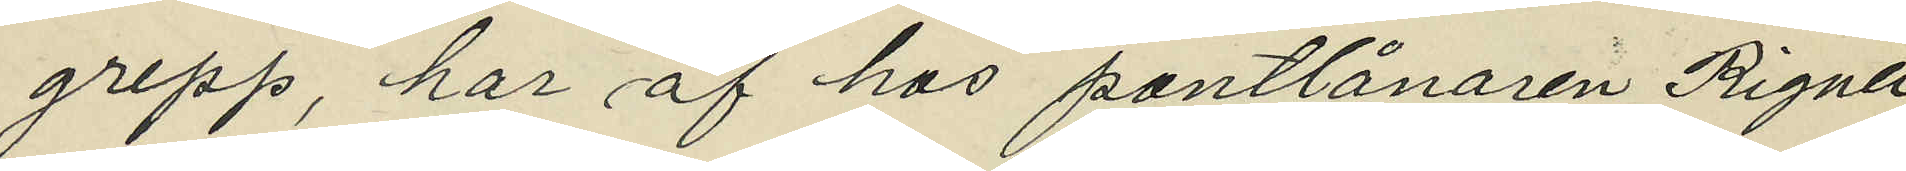grepp, har af hos pantlånaren Rignér
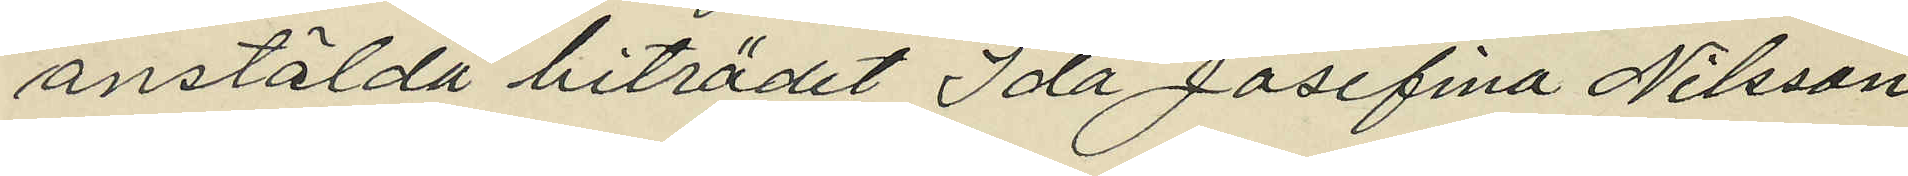anstälda biträdet Ida Josefina Nilsson
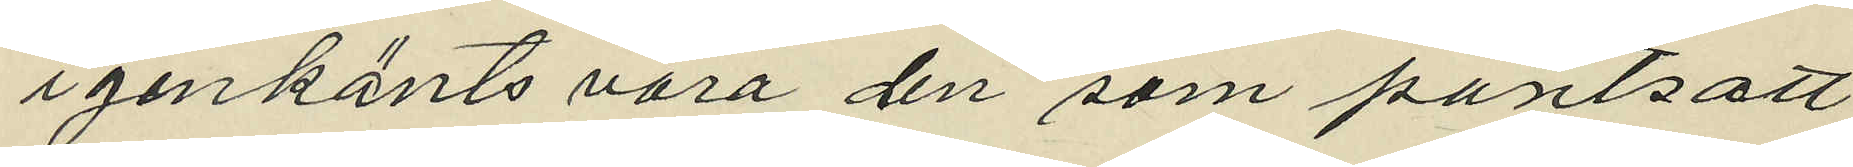igenkänts den som pantsatt
